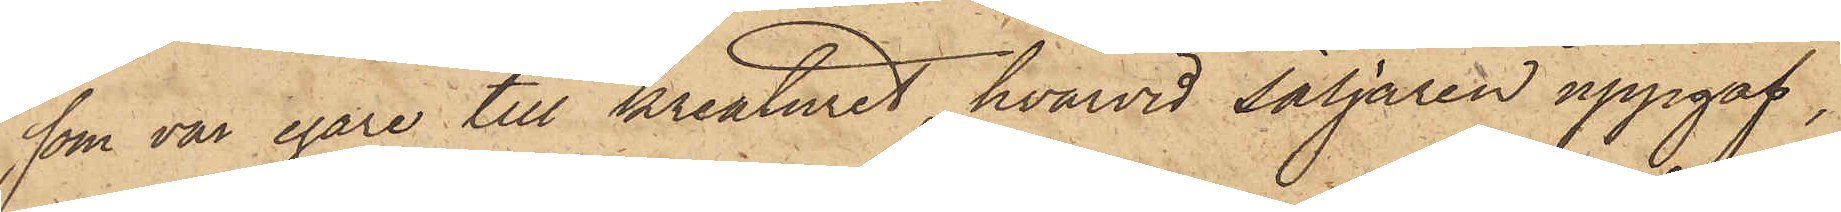som var egare till kreaturet, hvarvid säljaren uppgaf,
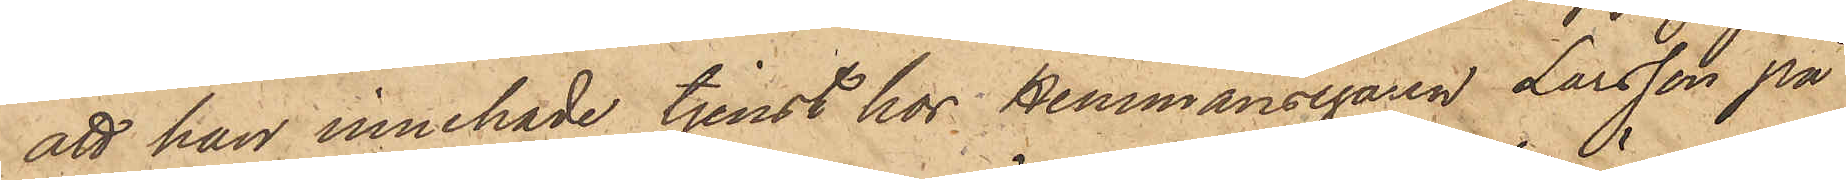att han innehade tjenst hos Hemmansegaren Larsson på
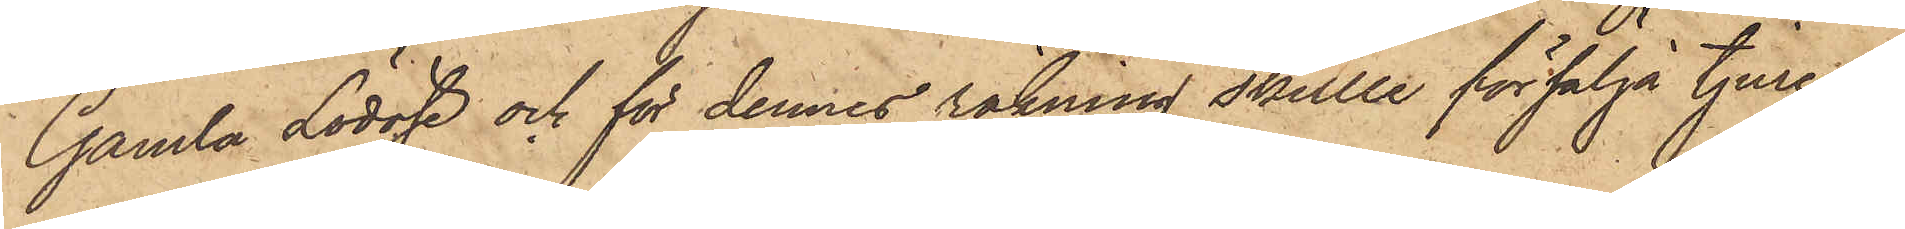Gamla Lödöse och för dennes räkning skulle försälja tjuren
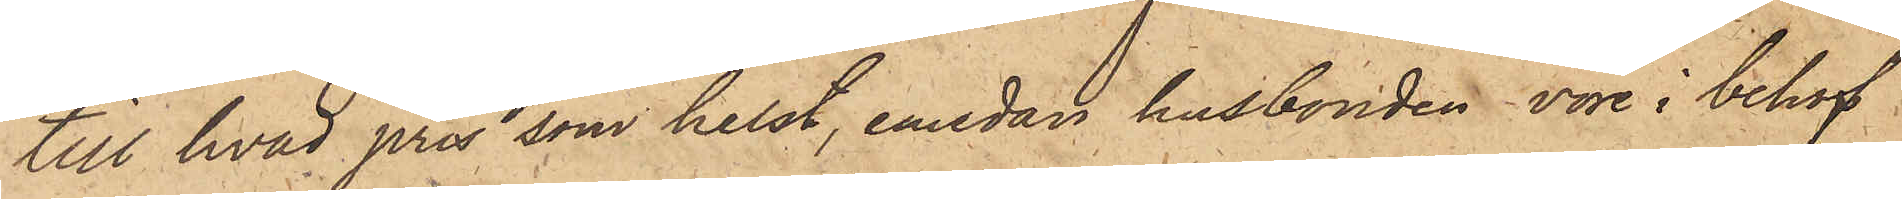till hvad pris som helst, emedan husbonden vore i behof
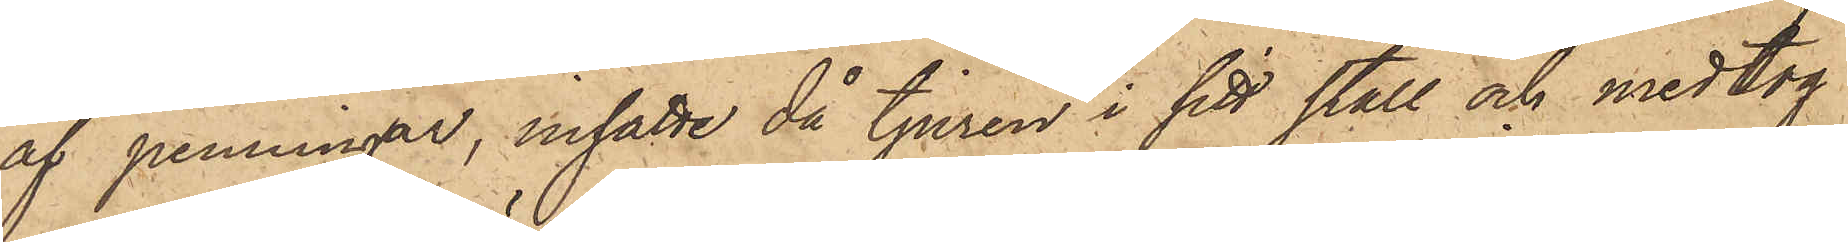af penningar, insatte då tjuren i sitt stall och medtog
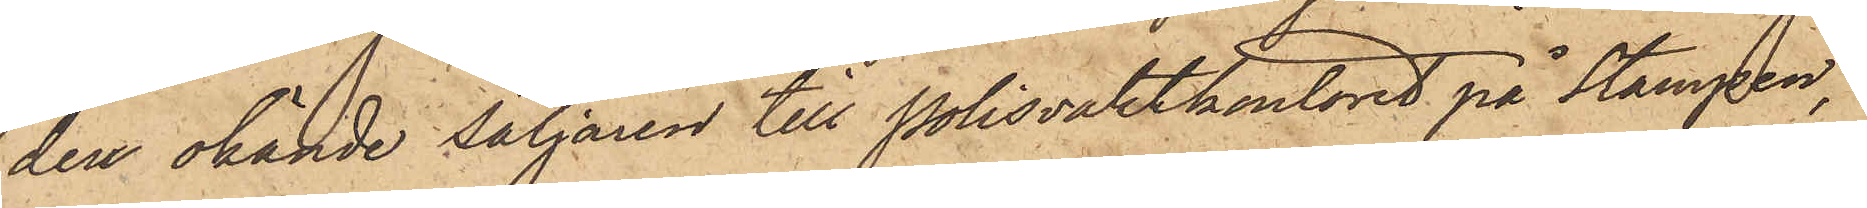den okände säljaren till Polisvaktkontoret på Stampen,
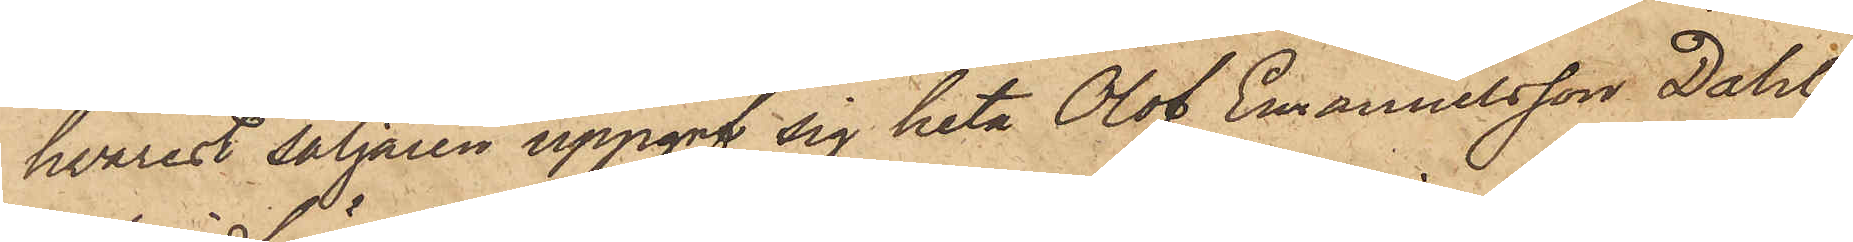hvarest säljaren uppgaf sig heta Olof Emanuelsson Dahl
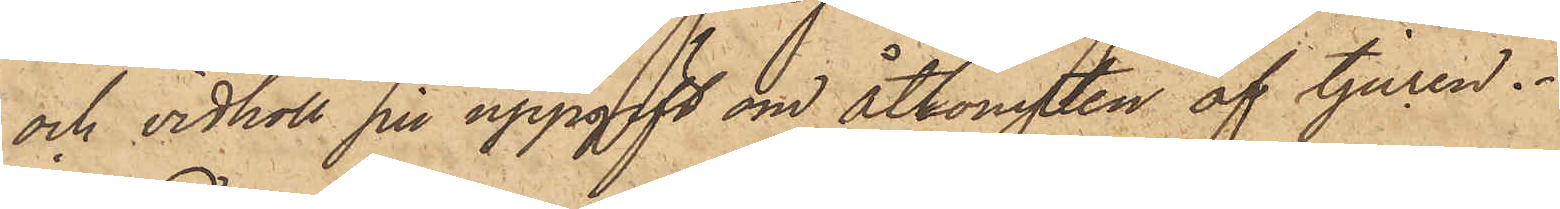och vidhöll sin uppgift om åtkomsten af tjuren.
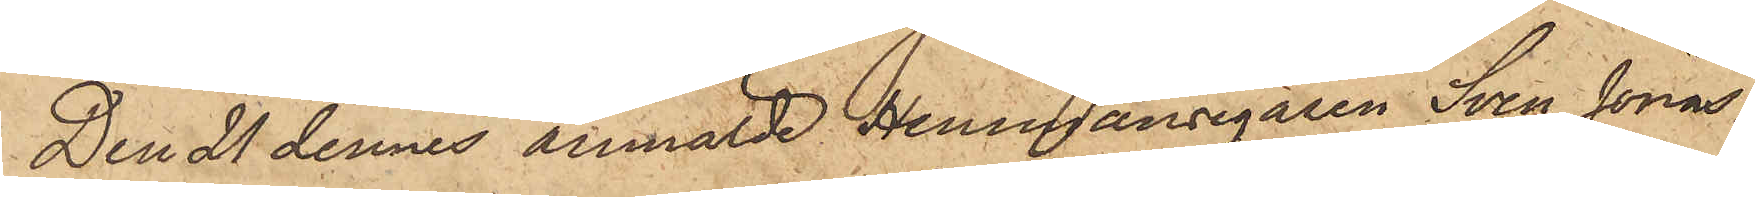Den 21 dennes anmälde Hemmansegaren Sven Jonas¬
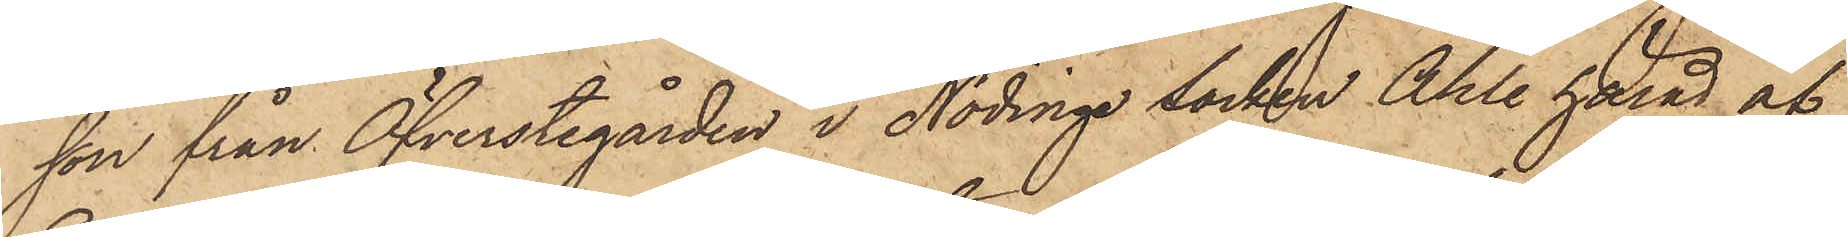son från Öfverstegården i Nödinge socken Ahle härad af
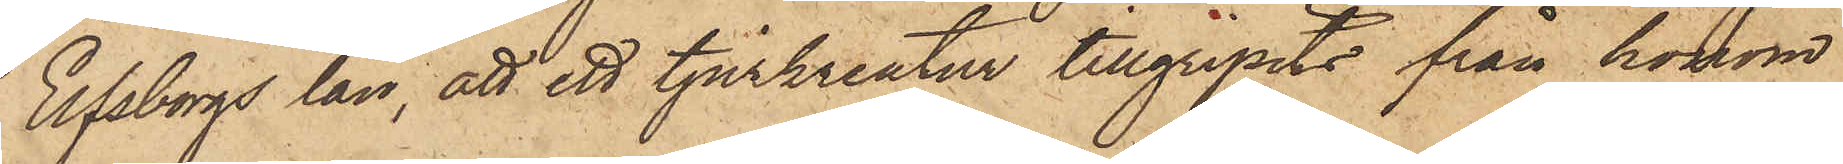Elfsborgs län, att ett tjurkreatur tillgripits från honom
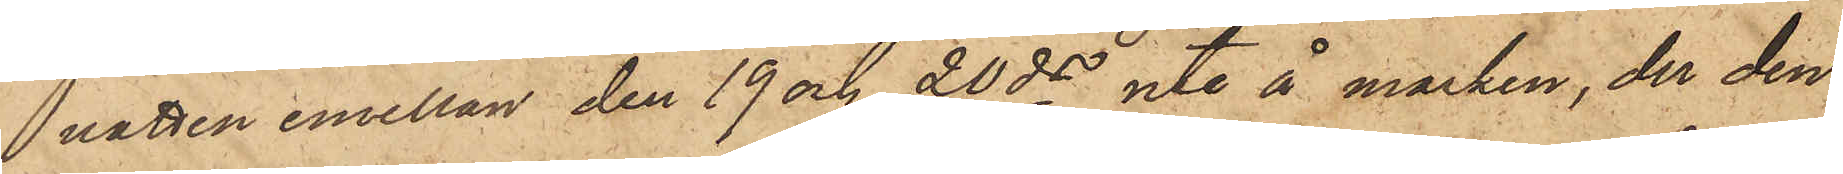natten emellan den 19 och 20 ds ute å marken, der den
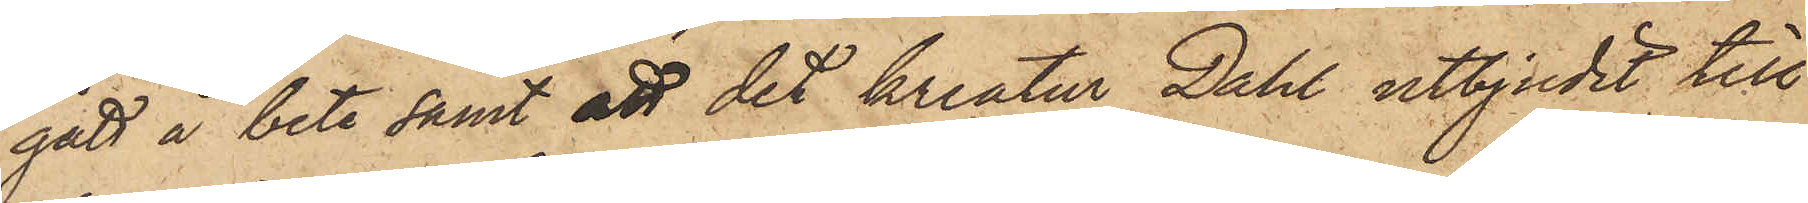gått å bete samt att det kreatur Dahl utbjudit till
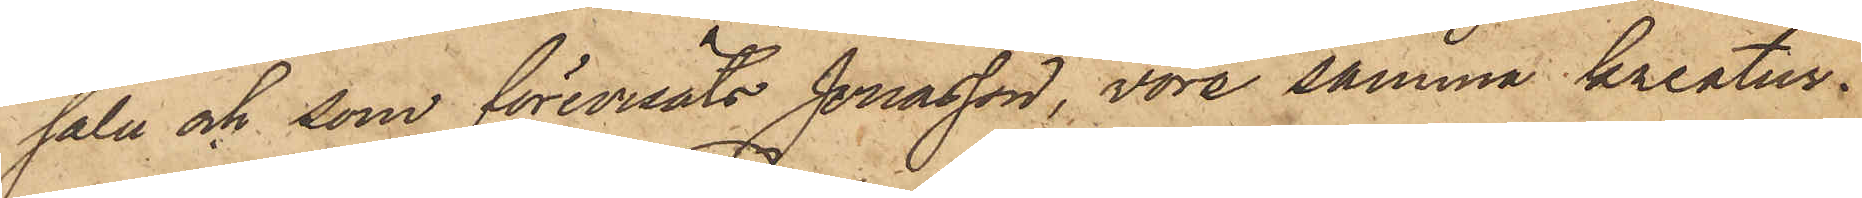salu och som förevisats Jonasson, vore samma kreatur.
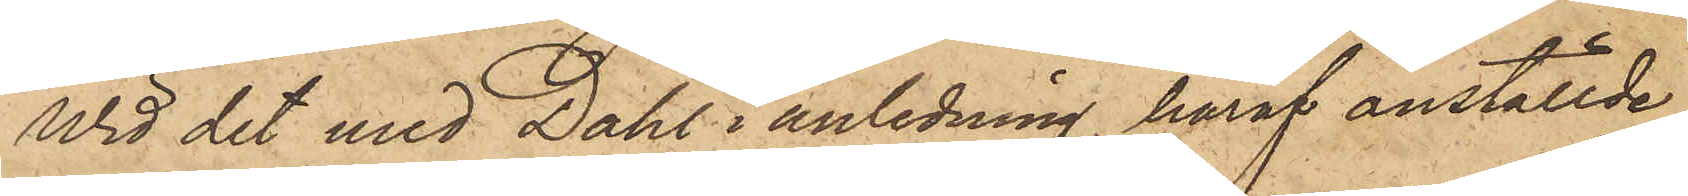Wid det med Dahl i anledning häraf anställde
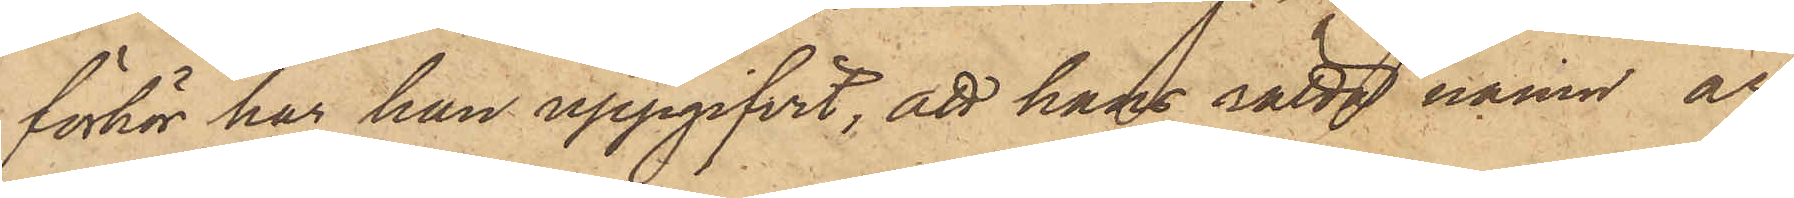förhör har han uppgifvit, att hans rätta namn är
